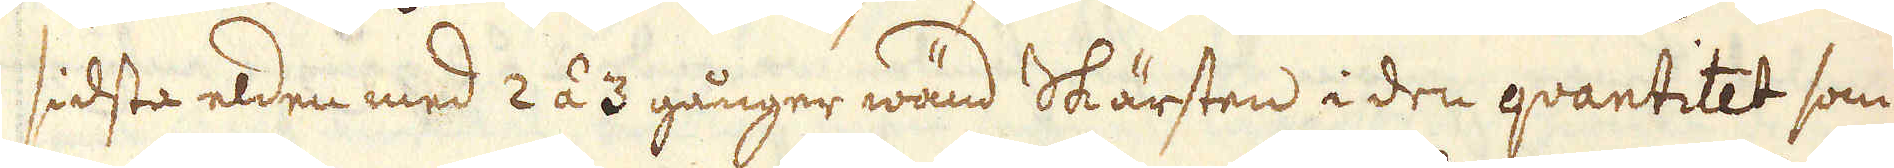sidsta elden med 2 á 3 gånger wänd Skärsten i den quantitet som
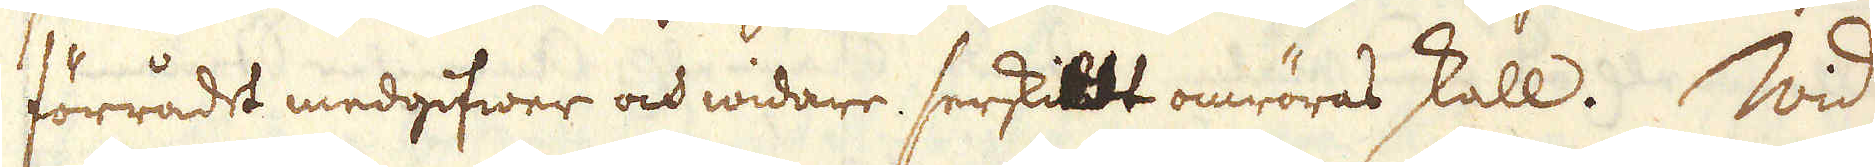förrådet medgifwer och widare, serskildt omröras skall. Wid
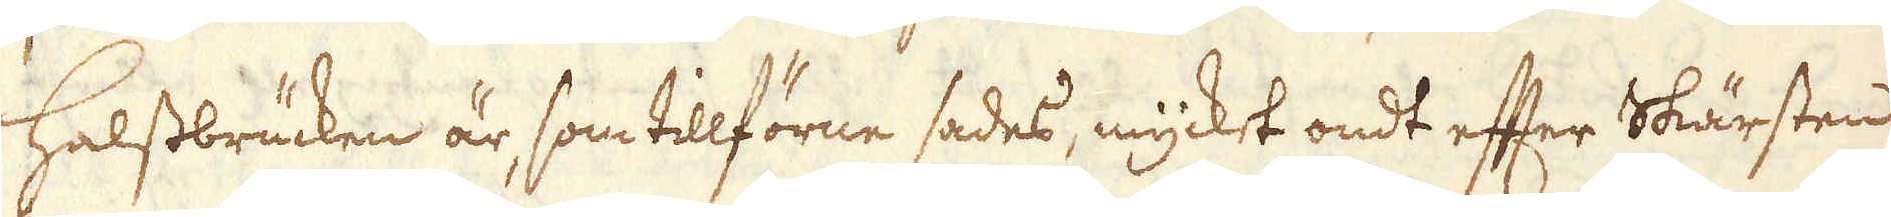Halstbrücken är, som tillförne sades, mycket ondt efter Skärsten
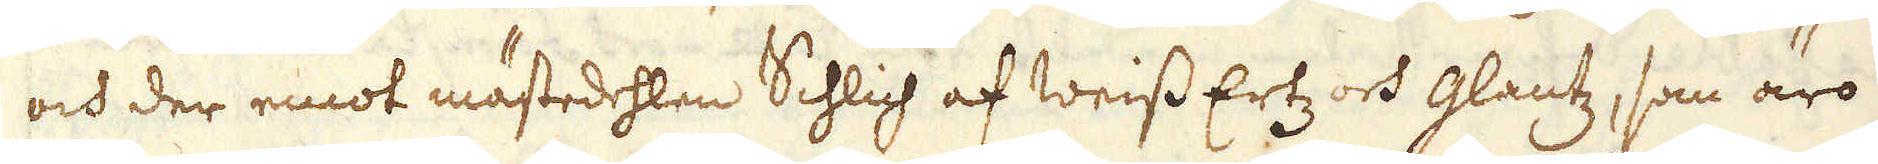och der emot mästedehlen Schlich af Weiss Ertz och glantz, som äro
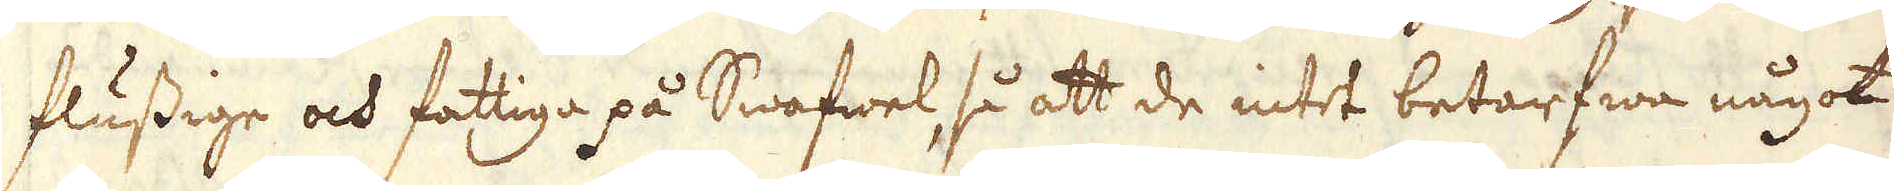flussige och fattiga på Swafwel, så att de intet betarfwa något
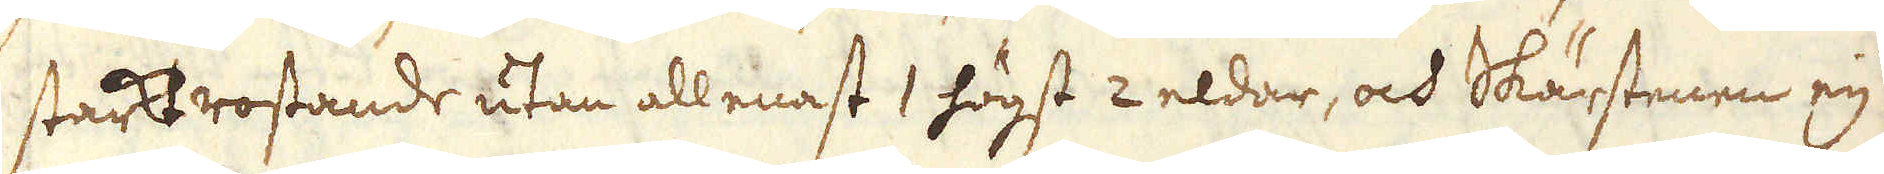starkt rostande utan allenast 1 högst 2 eldar, och Skärstenen eij
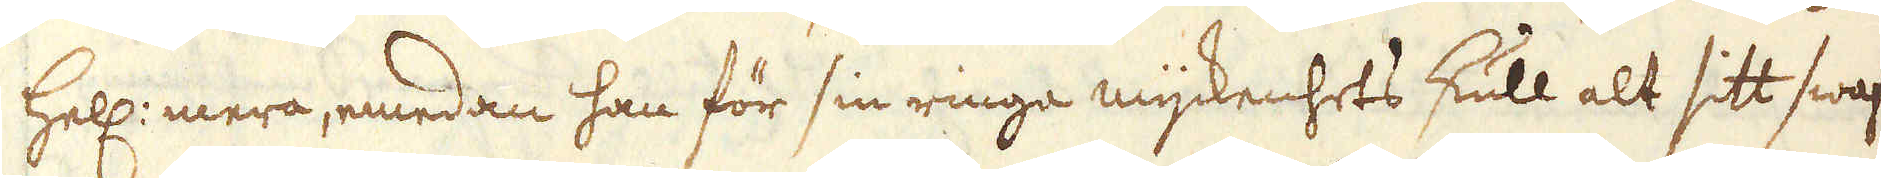hell: mera, emedan han för sin ringa myckenhets skull alt sitt swaf-
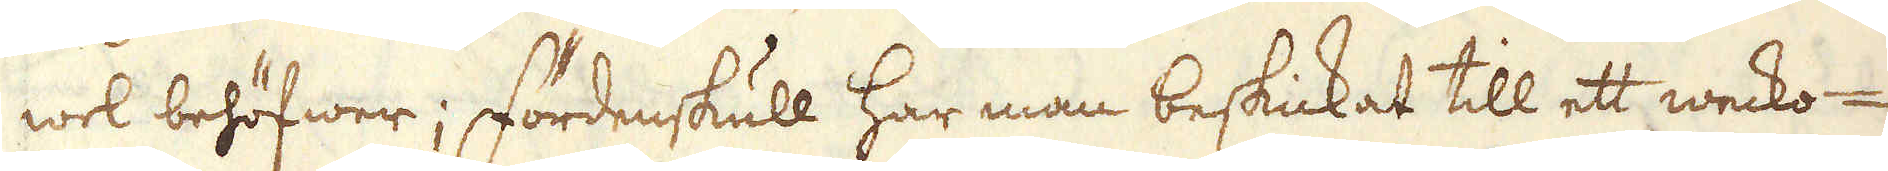wel behöfwer; Fördenskull har man beskickat till ett wecko-
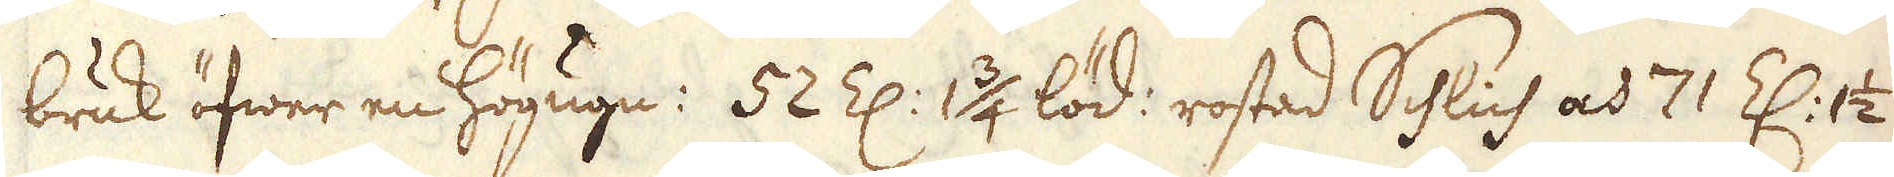bruk öfwer en högugn: 52 Z: 1 3/4 löd: rostad Schlich och 71 Z: 1 1/2
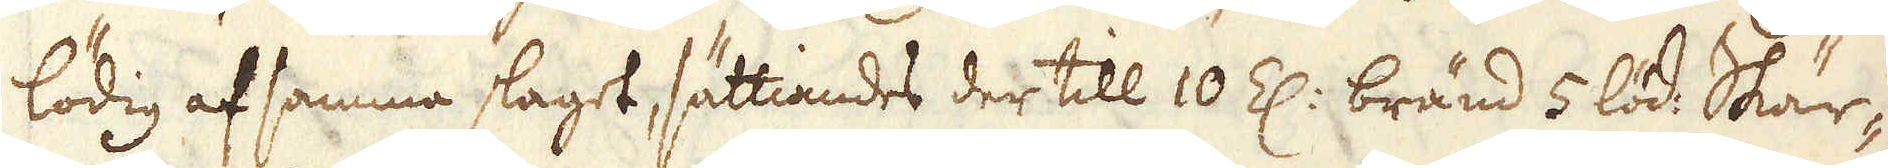lödig af samma slaget, sättiandes der till 10 Z: bränd 5 löd Skär-
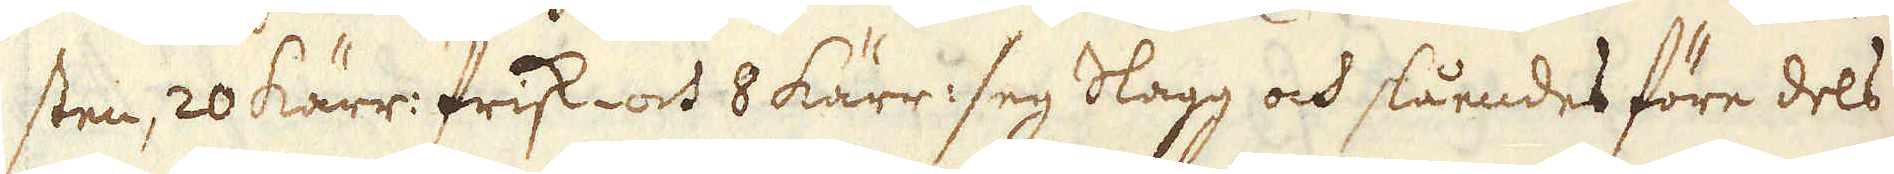sten, 20 kärr: frisk- och 8 kärr seg slagg och slåendes före dels
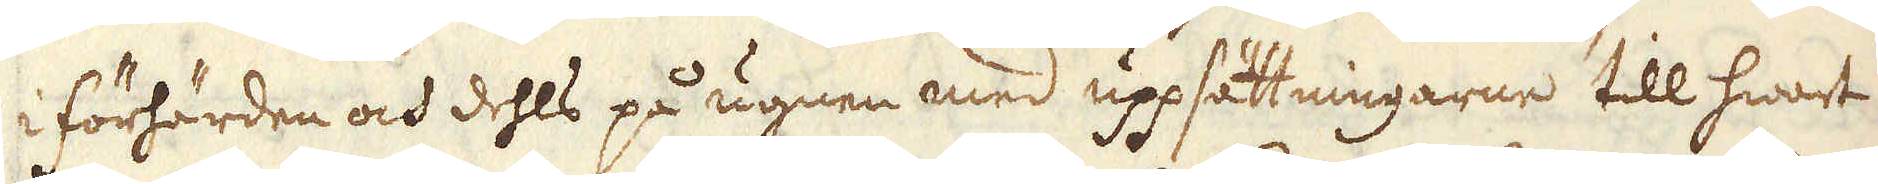i förhärden och dehls på ugnen med uppsättningarne till hwart
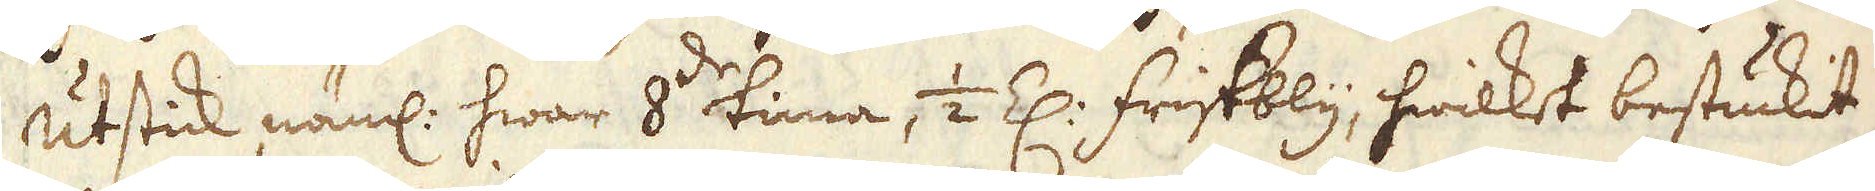utstick näml: hwar 8:de tima, 1/2 Z: fristbly, hwilket bestuckit
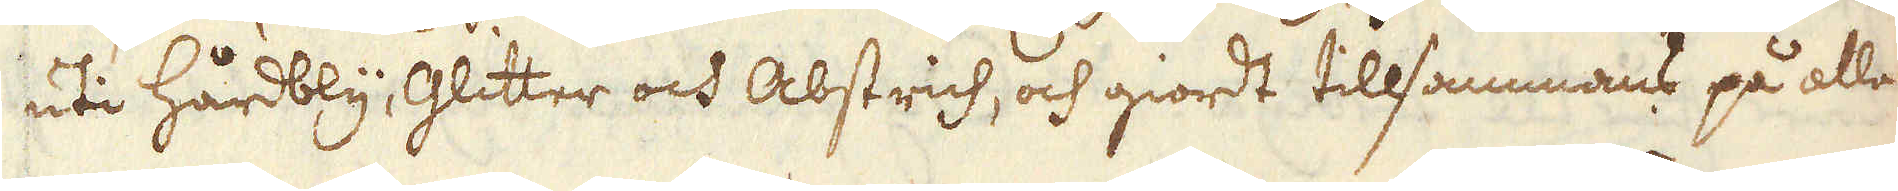uti hårdbly, Glitter och abstrich, och giordt tillsammans på alla-
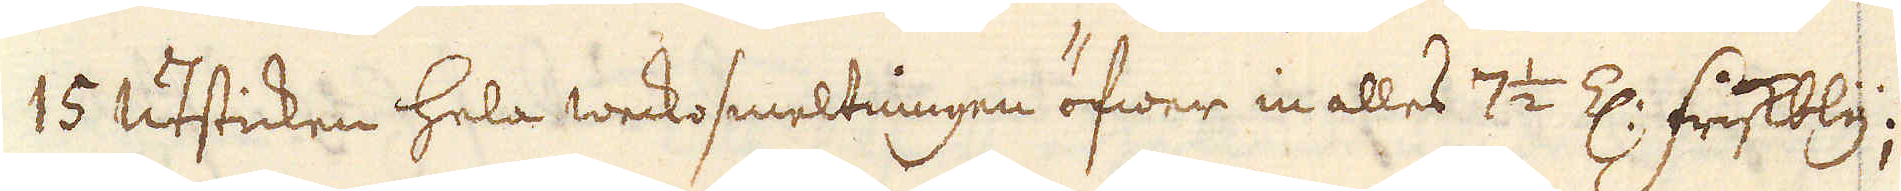15 utsticken hela weckosmeltningen öfwer in alles 7 1/2 Z: friskbly;
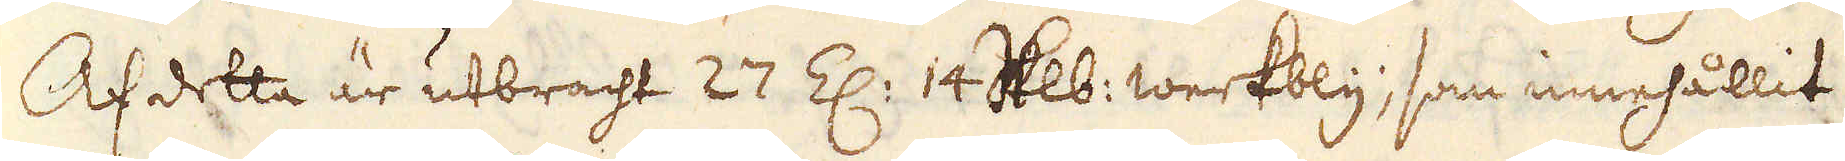Af detta är utbracht 27 Z: 14 Skålpunds werkbly, som innehållit
